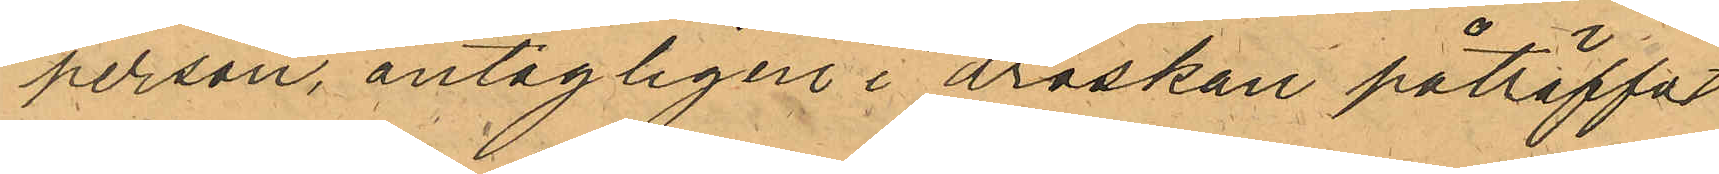person, antagligen i droskan påträffat
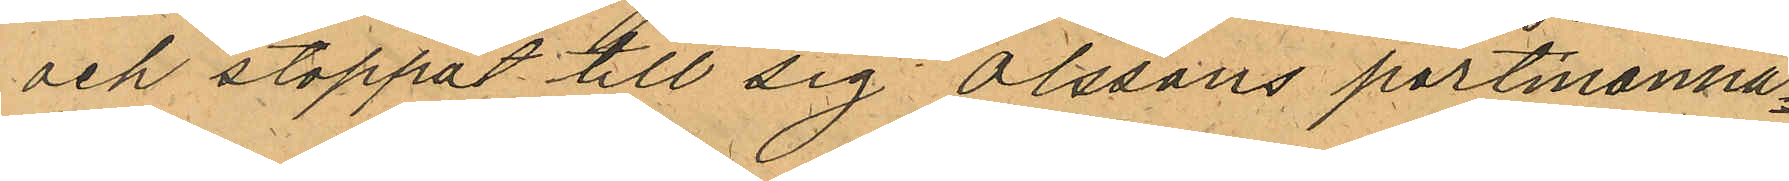och stoppat till sig Olssons portmonna¬
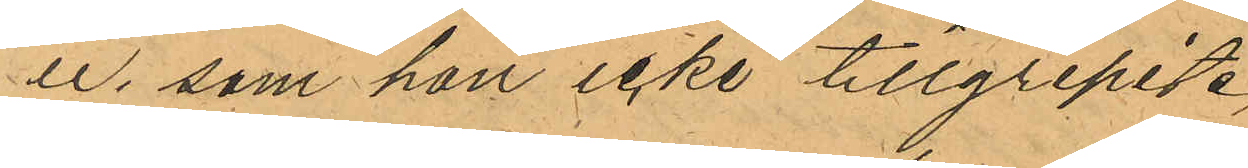ie, som hon icke tillgripit.
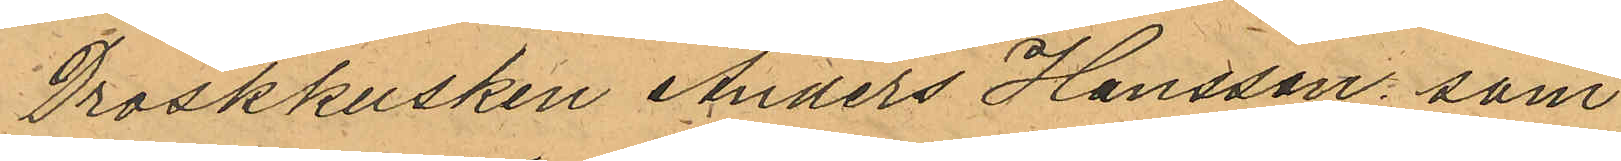Droskkusken Anders Hansson som
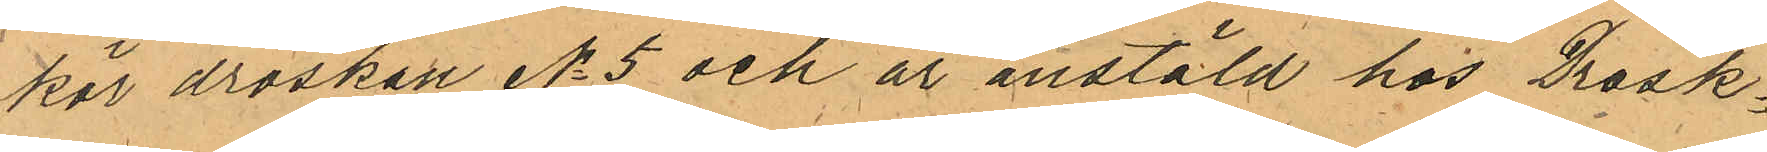kör droskan No 5 och är anstäld hos Drosk¬
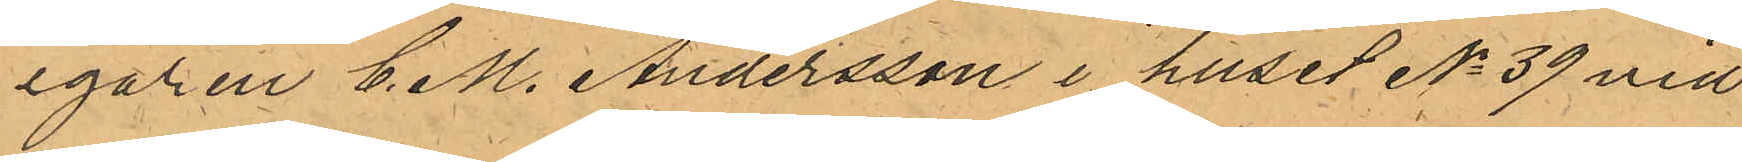egaren C. M. Andersson i huset No 39 vid
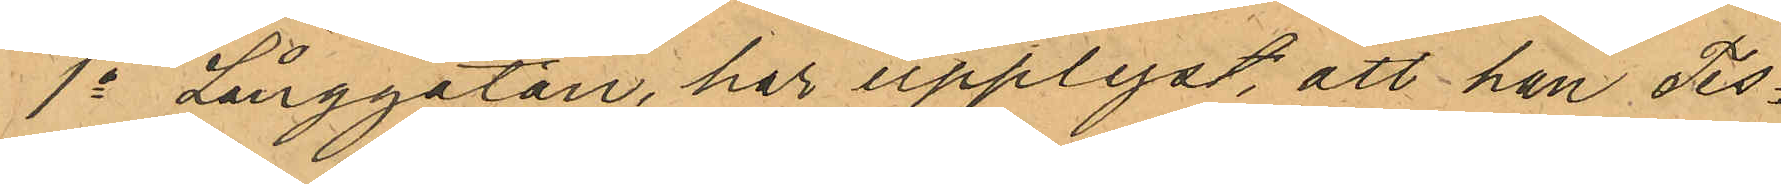1a Långgatan har upplyst, att han Tis¬
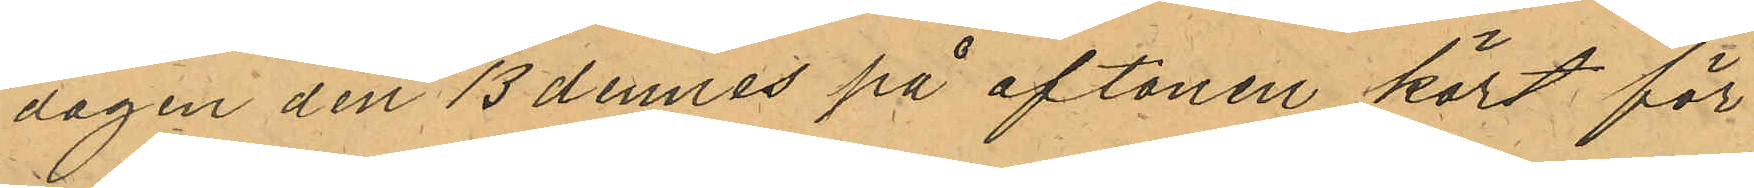dagen den 13 dennes på aftonen kört för
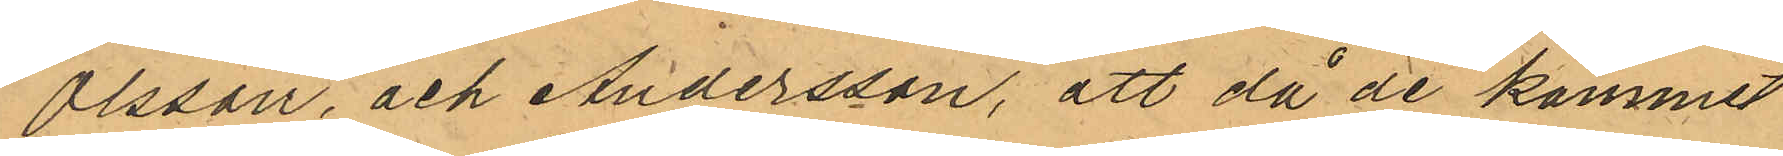Olsson, och Andersson, att då de kommit
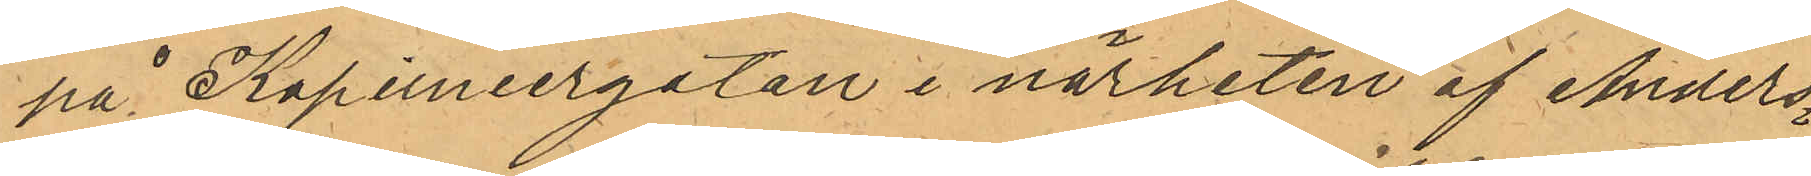på Kapuniergatan i närheten af Anders¬
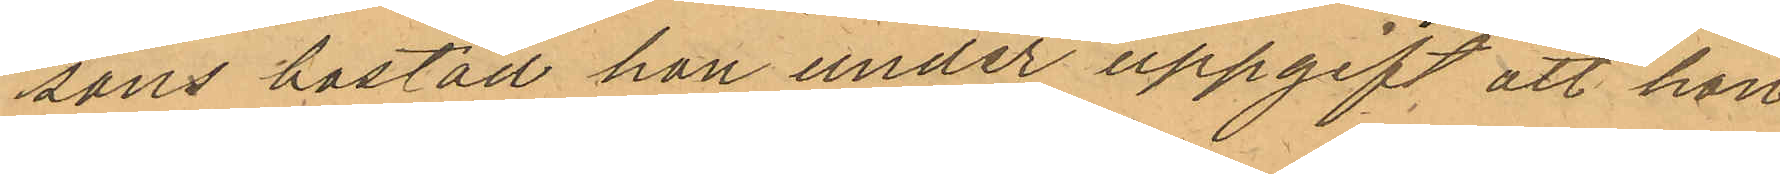sons bostad hon under uppgift att hon
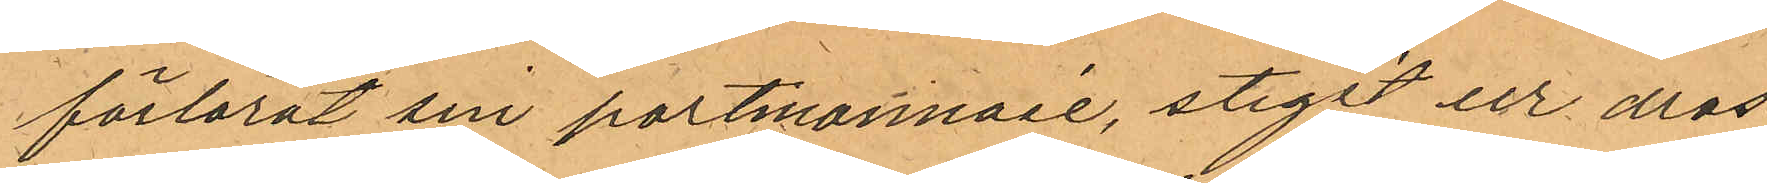förlorat sin portmonnaie, stigit ur dros¬
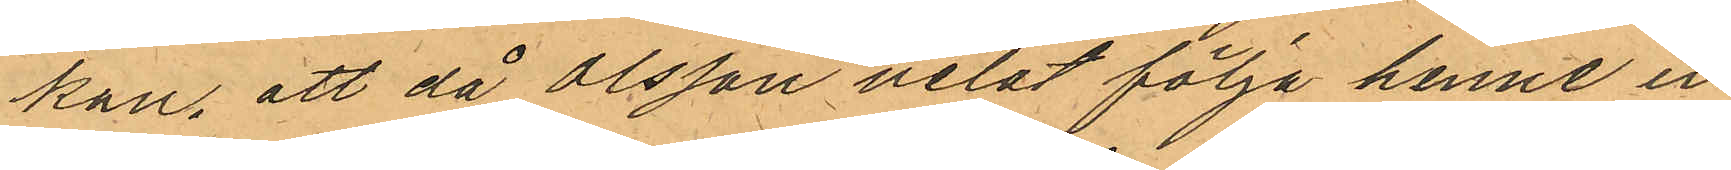kan, att då Olsson velat följa henne in
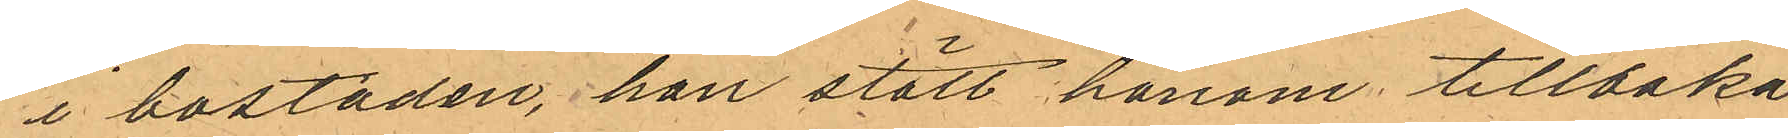i bostaden, hon stött honom tillbaka
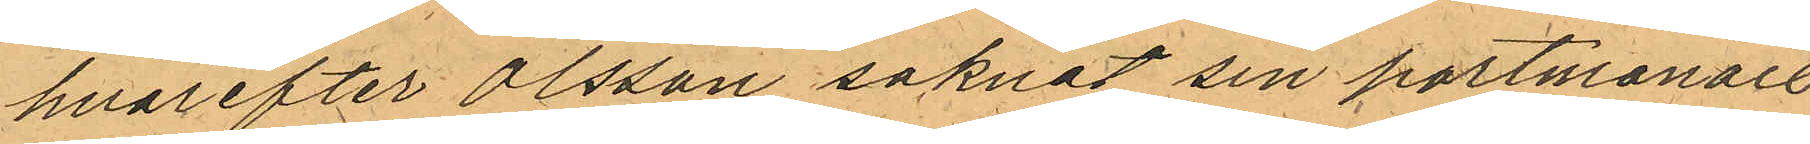hvarefter Olsson saknat sin portmonaie
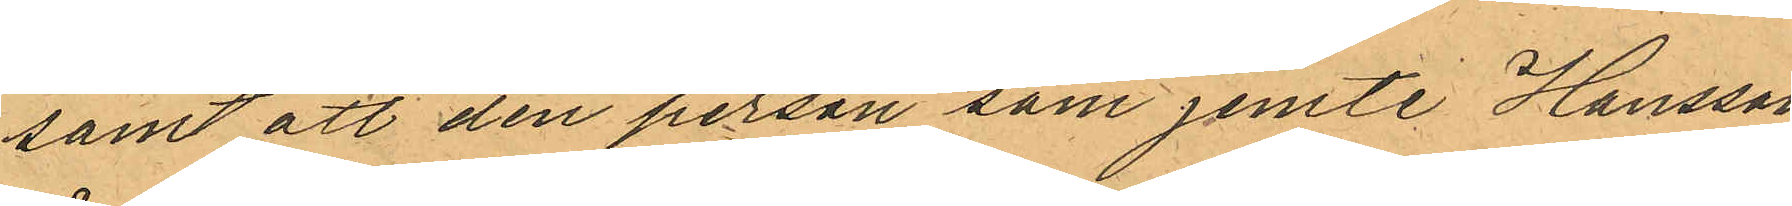samt att den person som jemte Hansson
